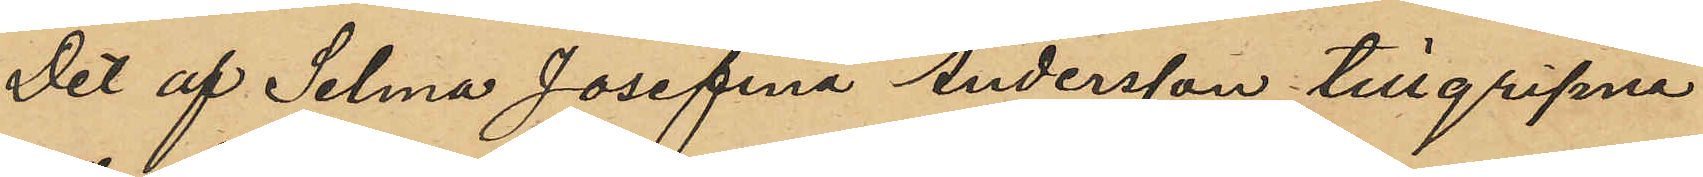Det af Selma Josefina Andersson tillgripne
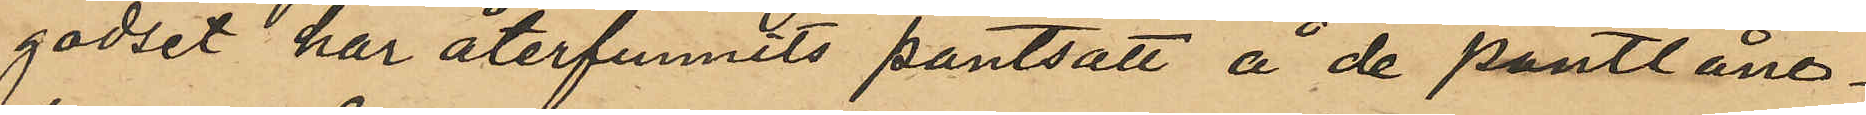godset har återfunnits pantsatt å de pantlåne¬
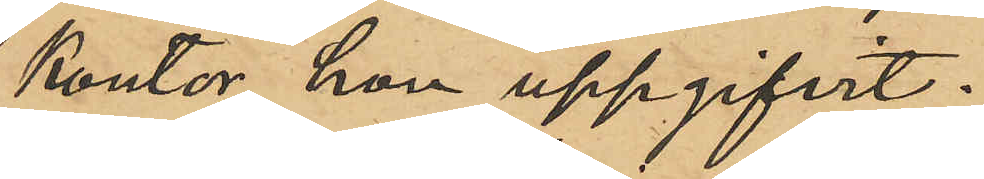kontor hon uppgifvit.
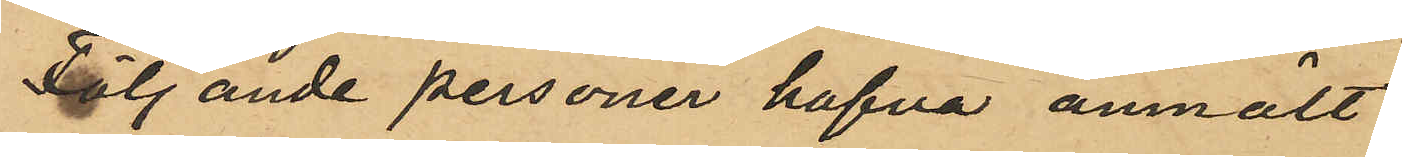Följande personer hafva anmält
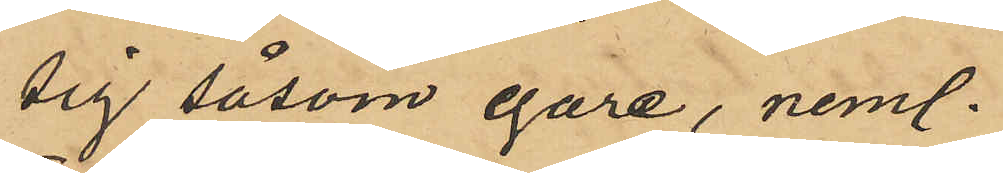sig såsom egare, neml.
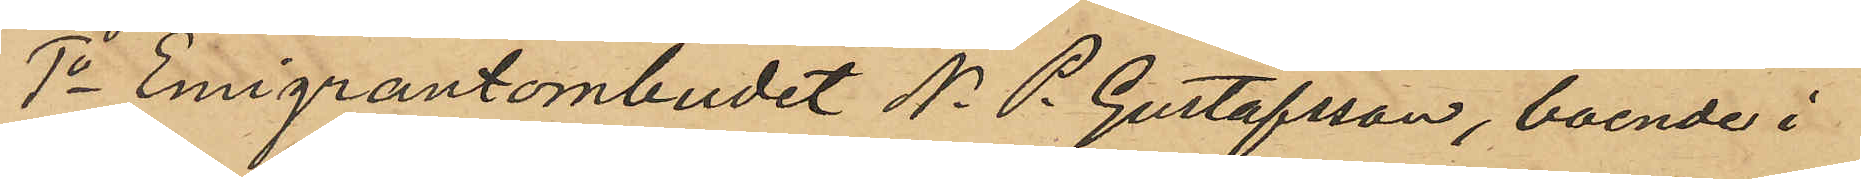1o Emigrantombudet N. P. Gustafsson, boende i
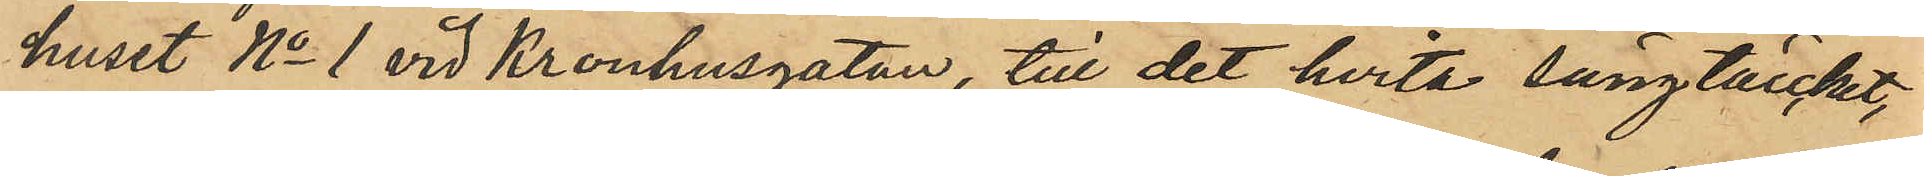huset No 1 vid Kronhusgatan, till det hvita sängtäcket,
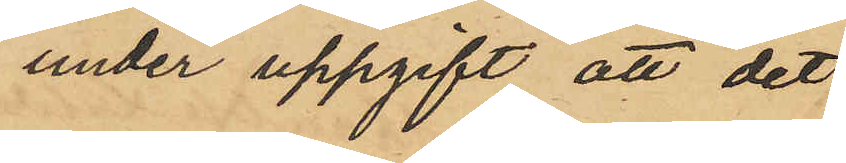under uppgift att det¬
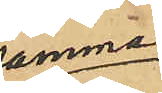samma
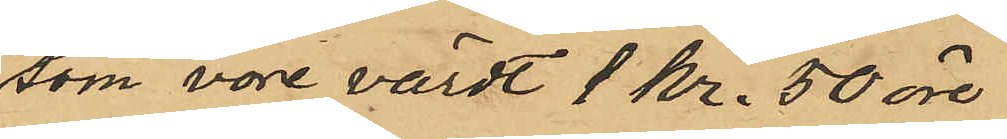som vore värdt 1 kr. 50 öre
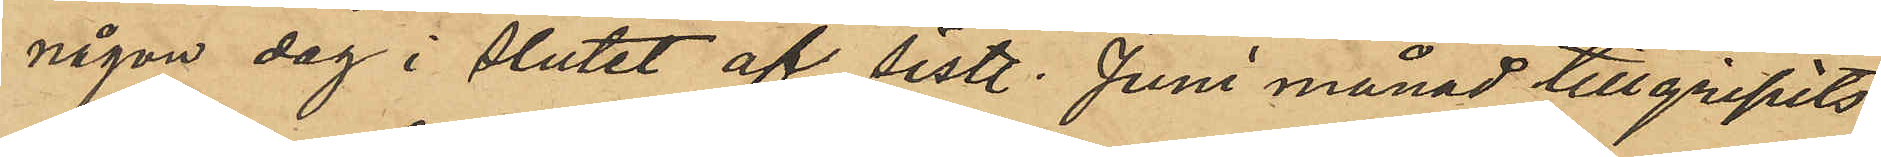någon dag i slutet af sistl. Juni månad tillgripits
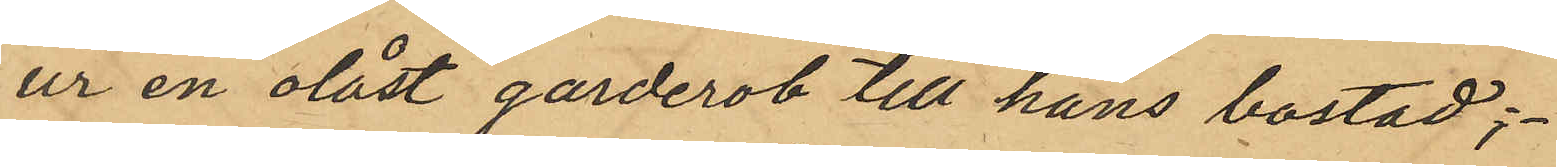ur en olåst garderob till hans bostad;
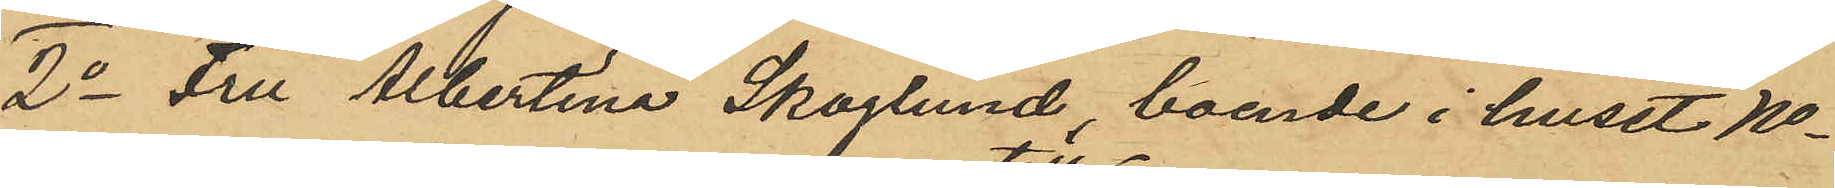2o Fru Albertina Skoglund, boende i huset No
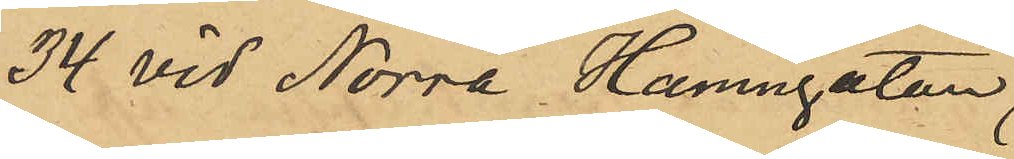34 vid Norra Hamngatan
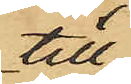till
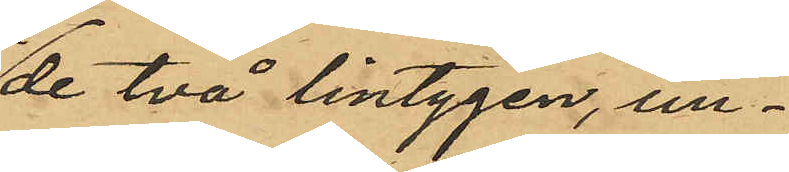de två lintygen, un¬
